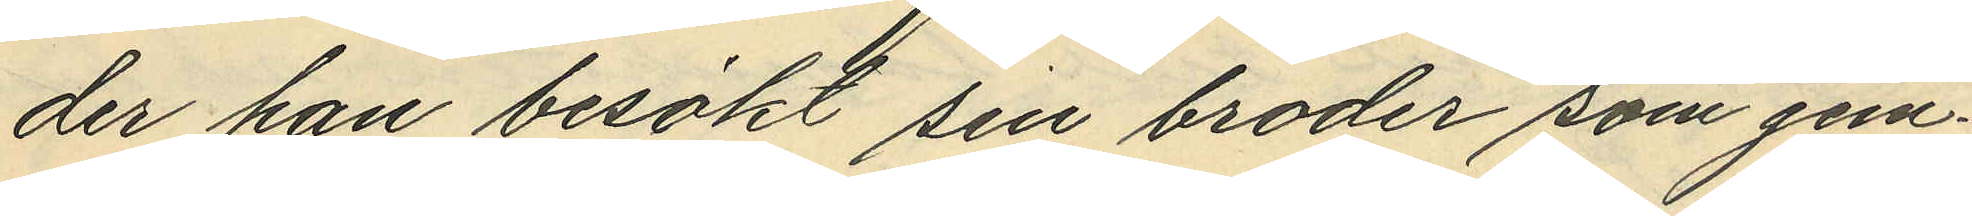der han besökt sin broder som jem¬
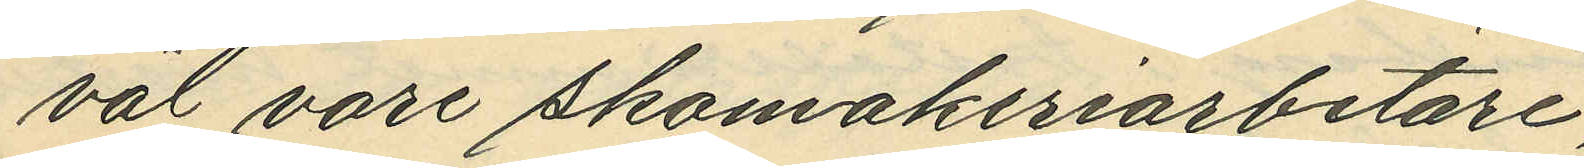väl vore skomakeriarbetare;
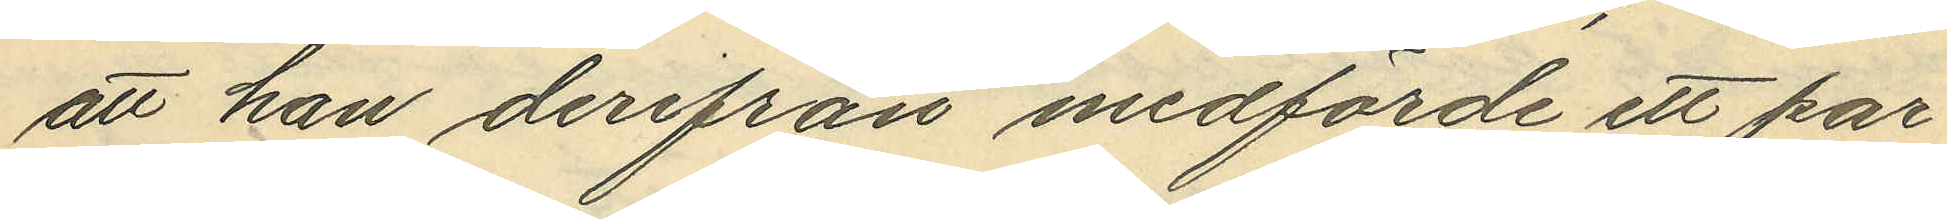att han derifrån medförde ett par¬
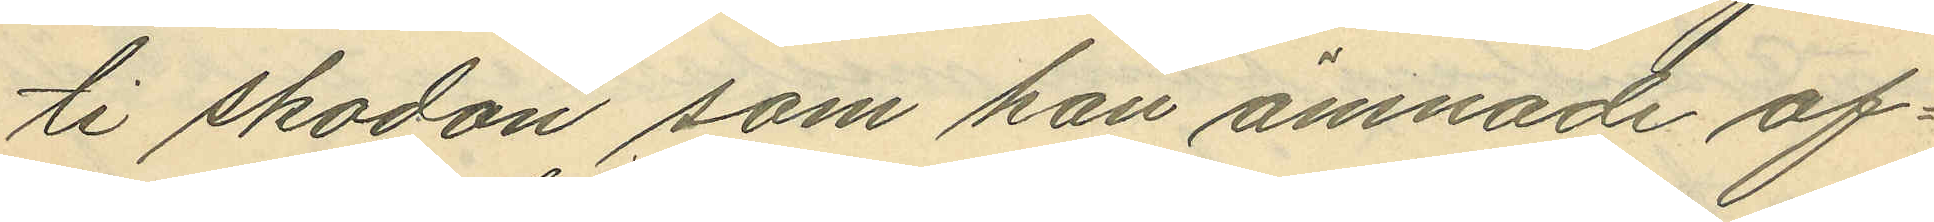ti skodon som han ämnade af¬
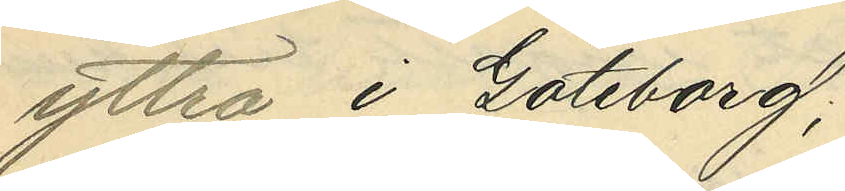yttra i Göteborg;
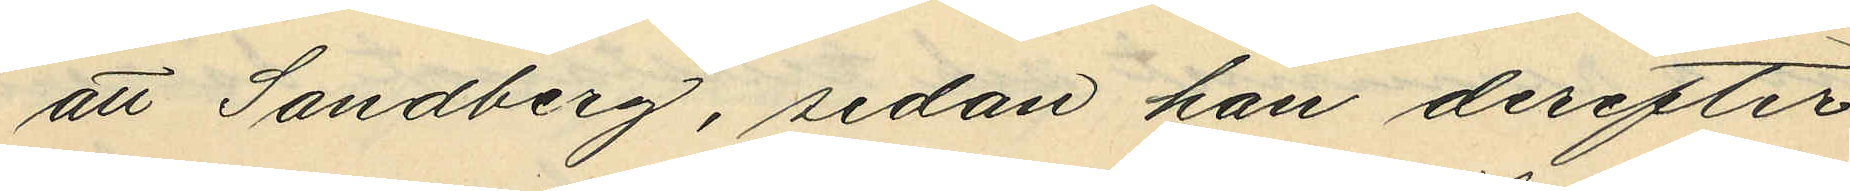att Sandberg, sedan han derefter
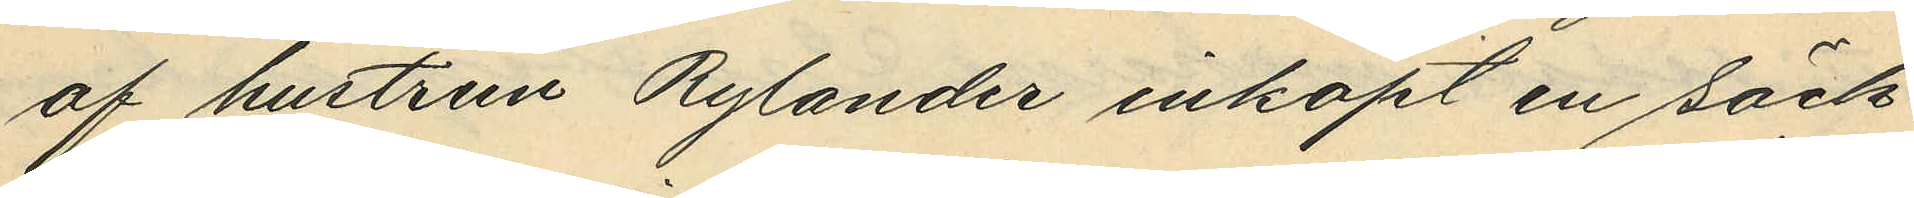af hustrun Rylander inköpt en säck
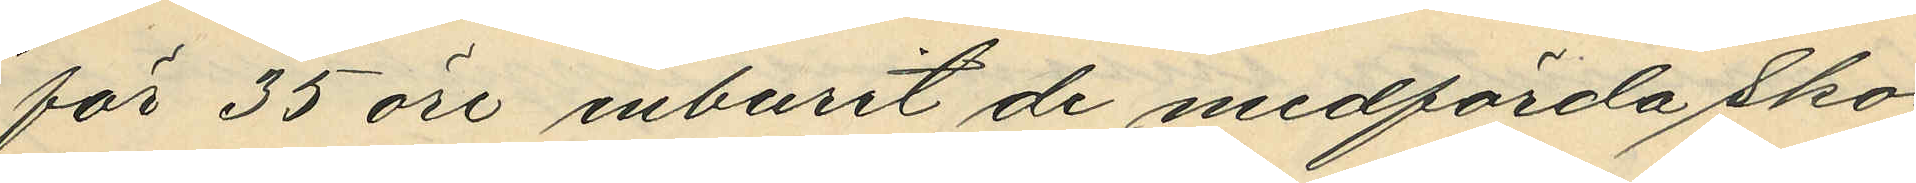för 35 öre inburit de medförda sko¬
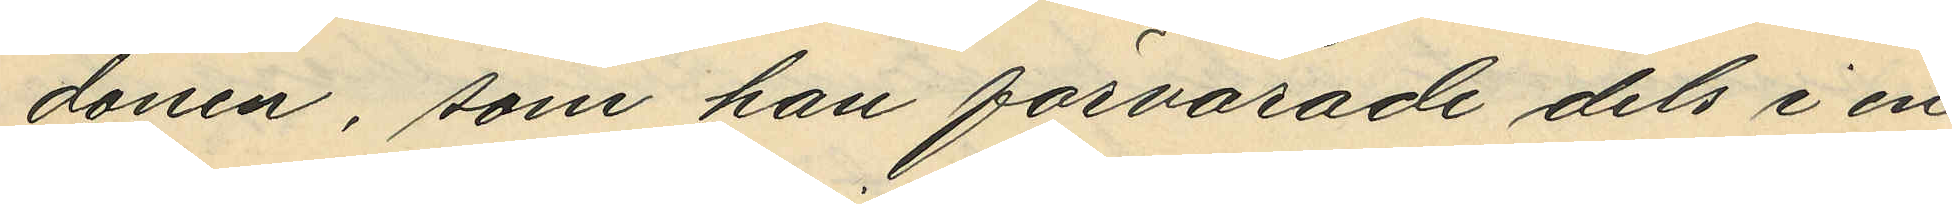donen, som han förvarade dels i en
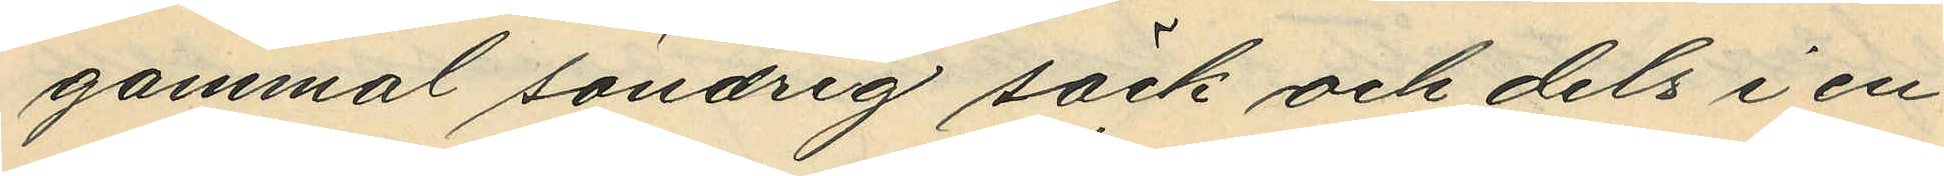gammal söndrig säck och dels i en
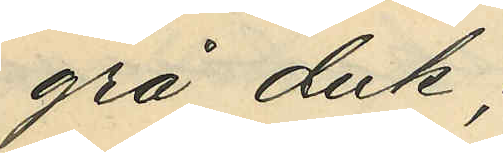grå duk;
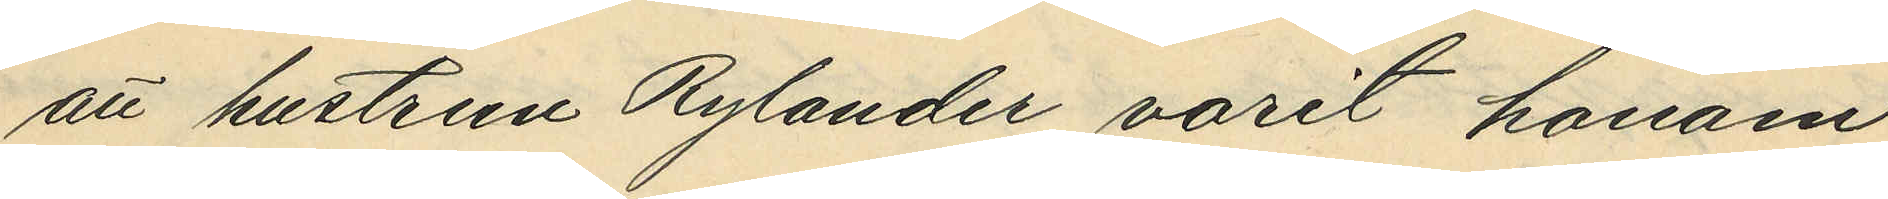att hustrun Rylander varit honom
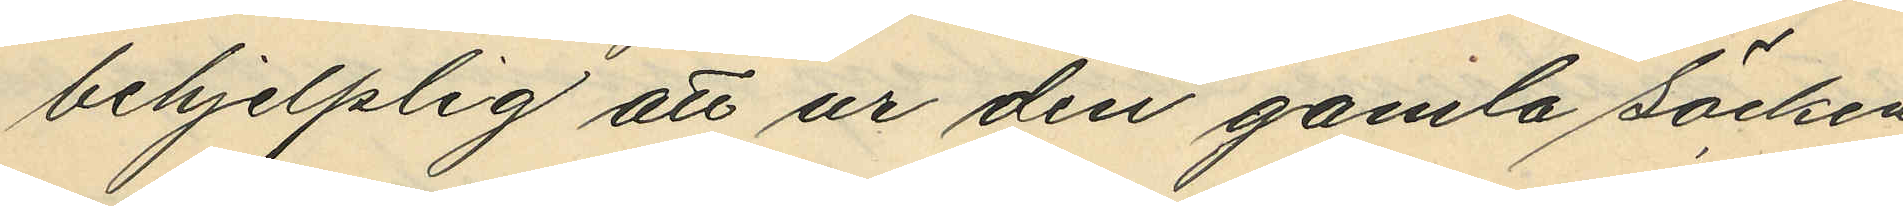behjelplig att ur den gamla säcken
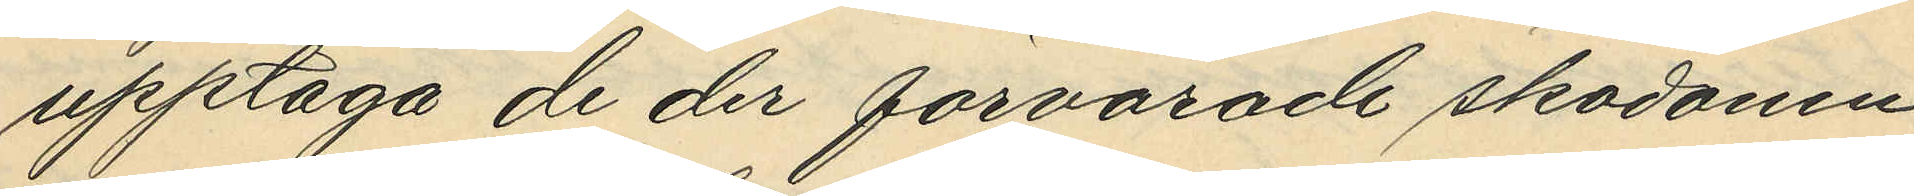upptaga de der förvarade skodonen,
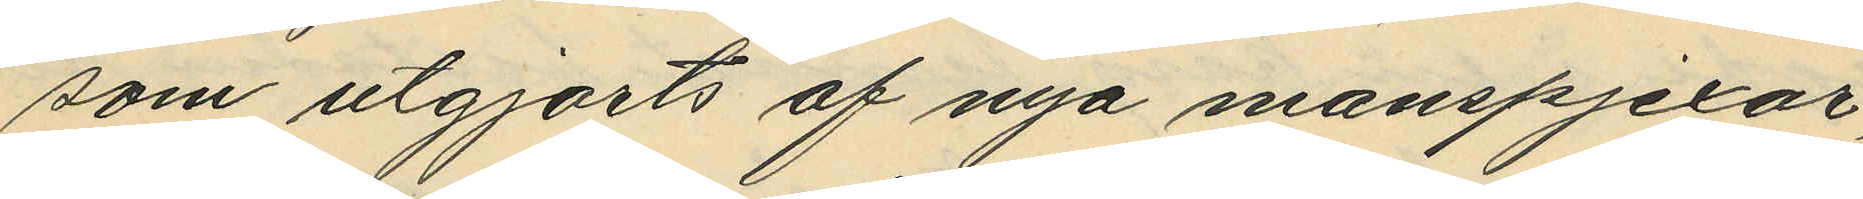som utgjorts av nya manspjexor,
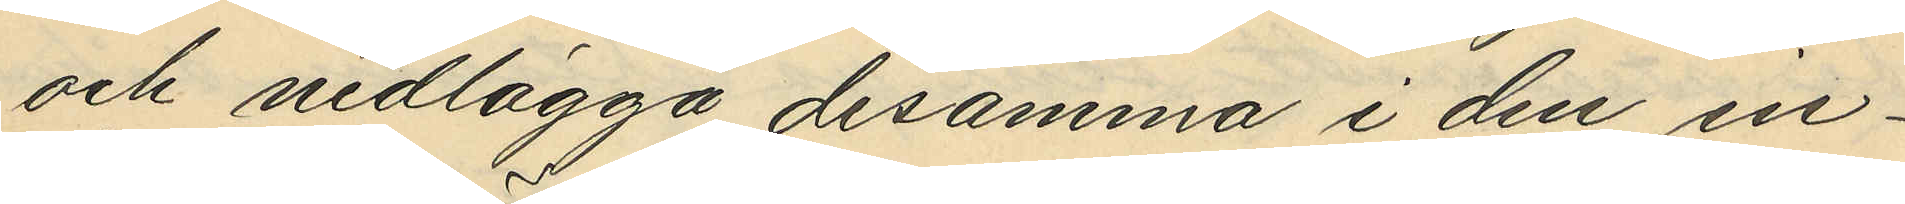och nedlägga desamma i den in¬
